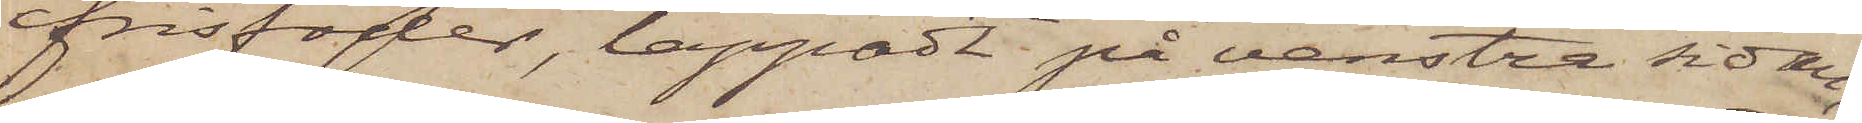frisfoder, lappadt på venstra sidan,
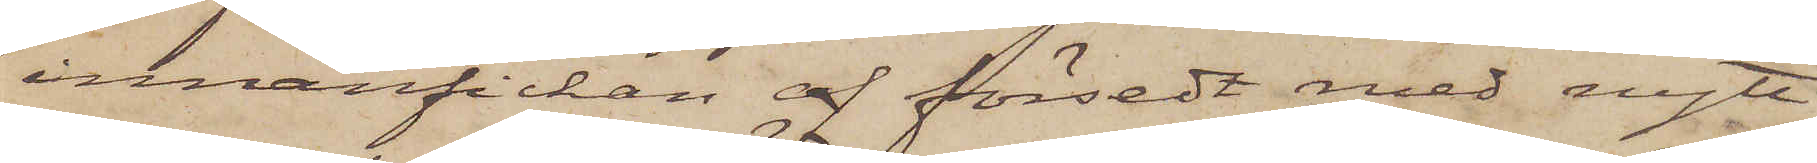innanfickan af försedt med nytt
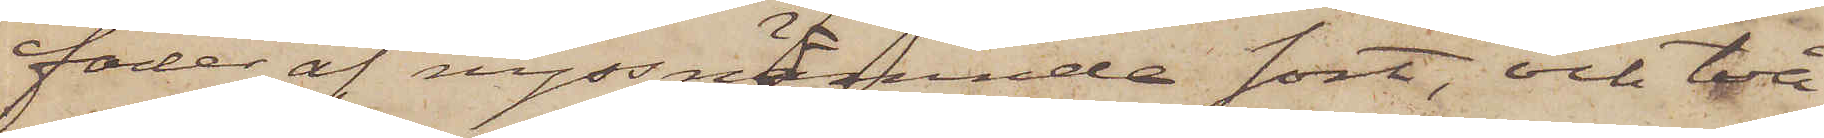foder af nyssnämnde sort, och två
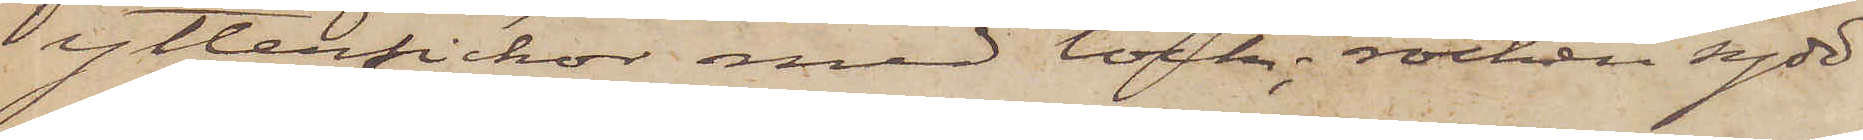ytterfickor med lock; rocken sydd
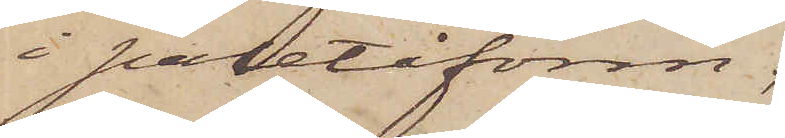i paletåform;
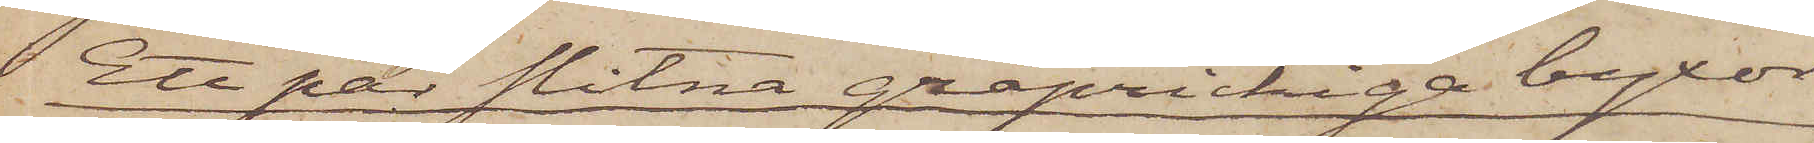Ett par slitna gråprickiga byxor
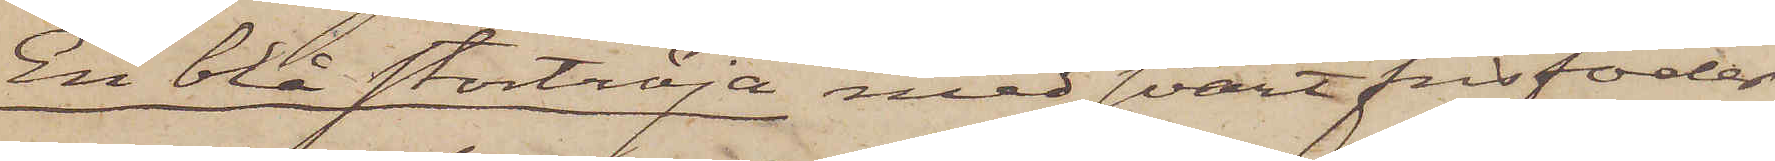En blå stortröja med svart frisfoder;
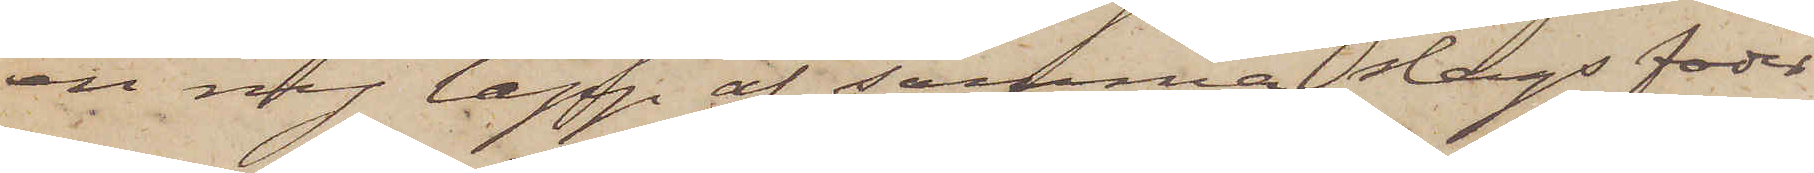en ny lapp af samma slags foder
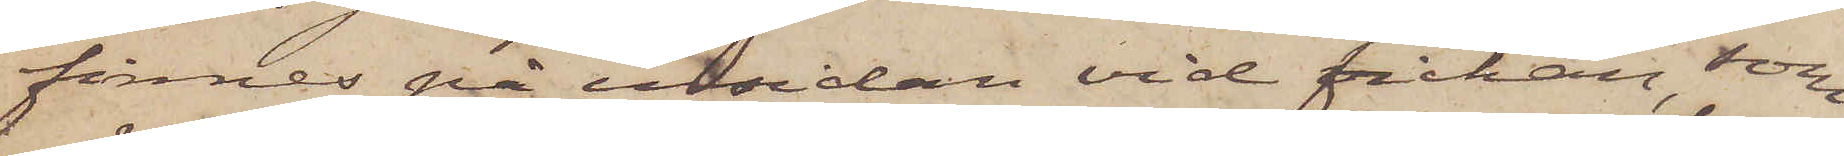finnes på insidan vid fickan, som
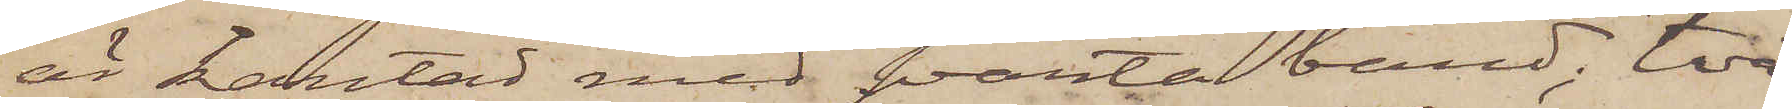är kantad med svarta band; två
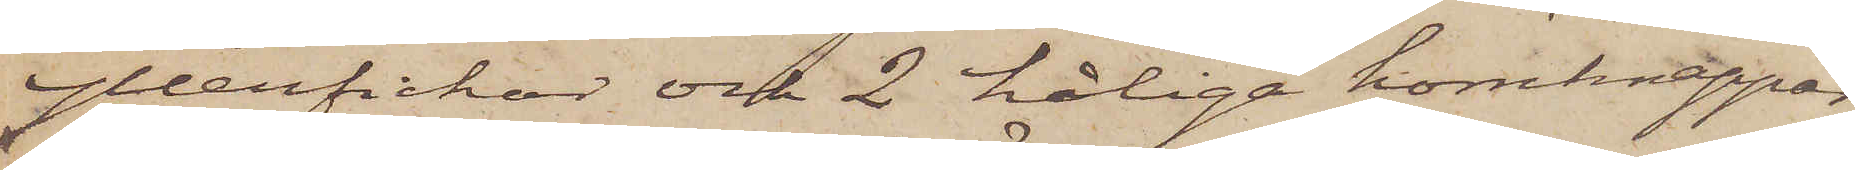ytterfickor och 2 håliga hornknappar;
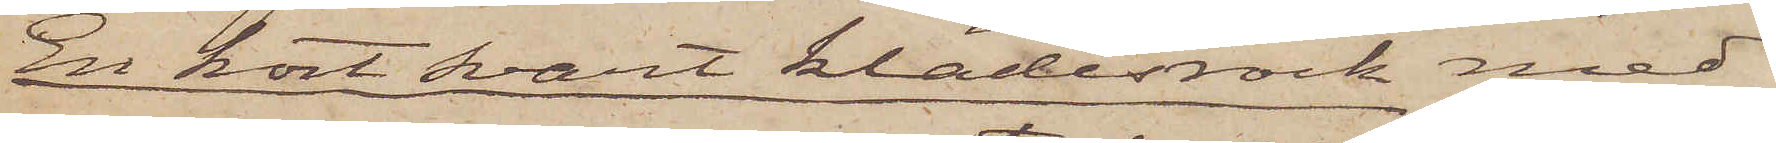En kort svart klädesrock med
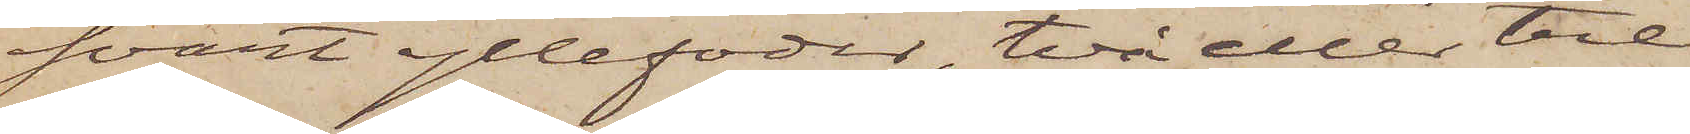svart yllefoder, två eller tre
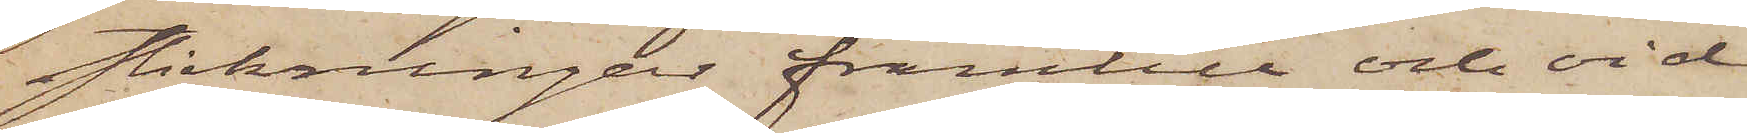stickningar framtill och vid
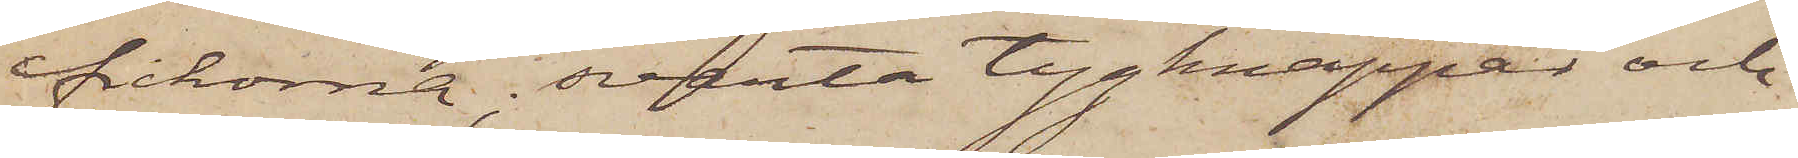fickorna; svarta tygknappar och
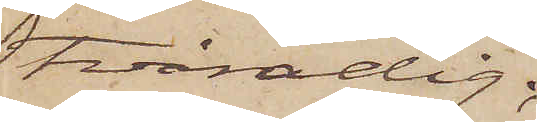tvåradig;
